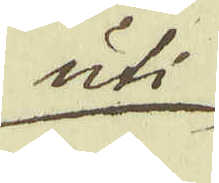uti
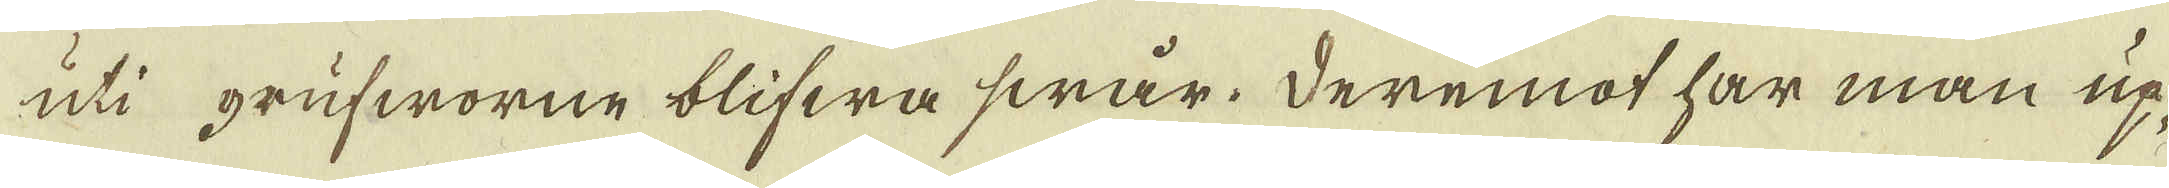uti grufworne blifwa swår. Deremot har man up-
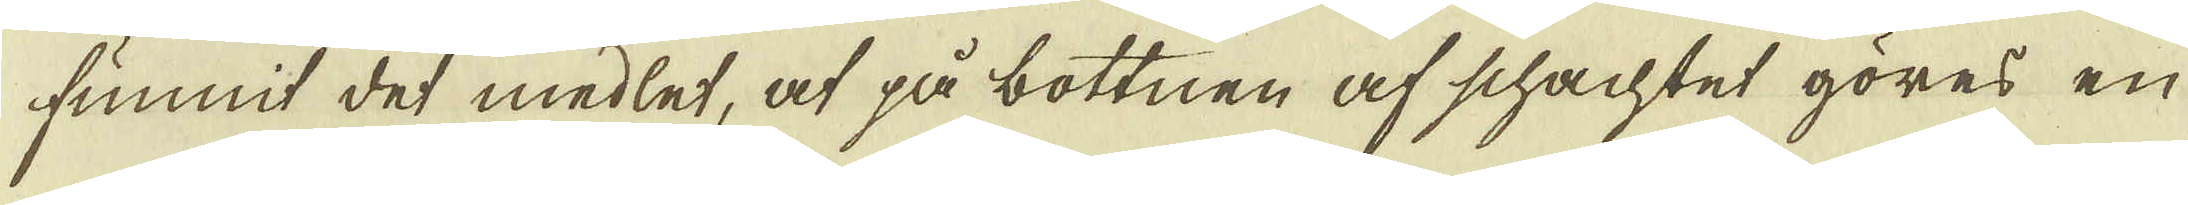finnit det medlet, at på bottnen af schachtet göres en
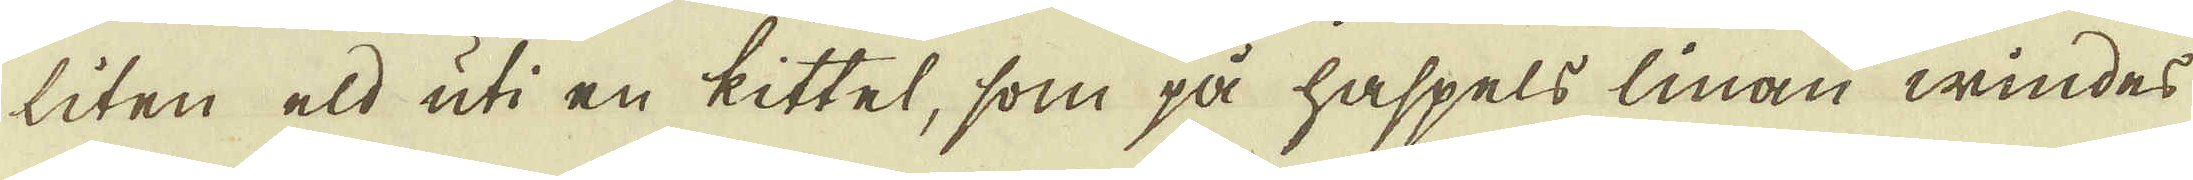liten eld uti en kittel, som på haspels linan windes
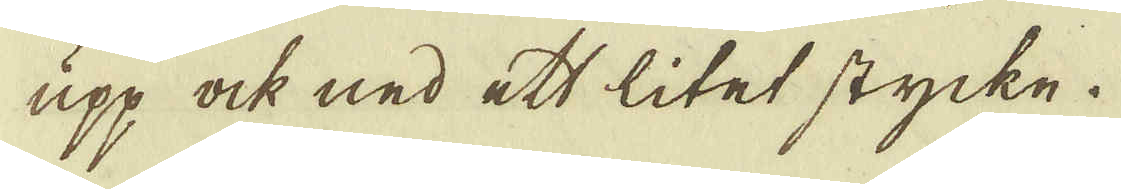upp, ock ned ett litet stycke.
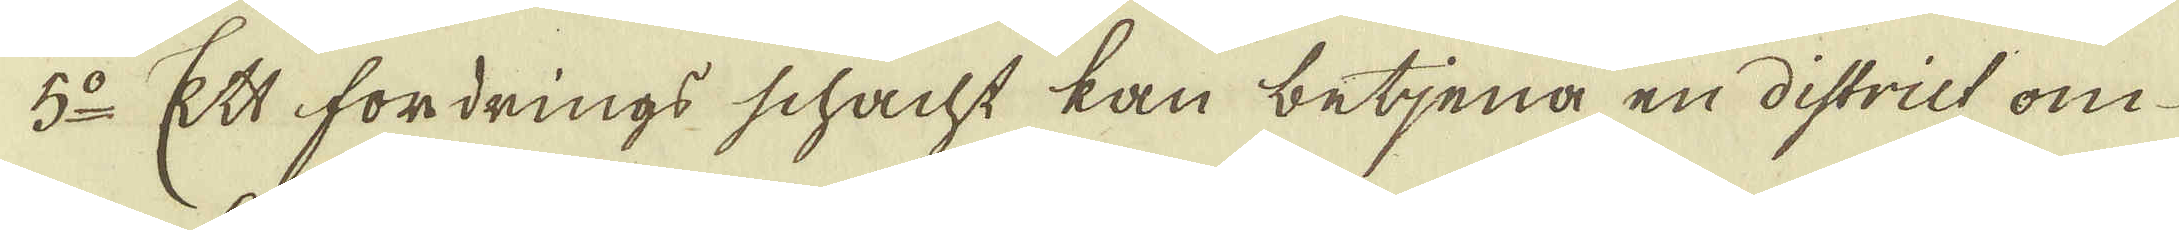5:o Ett fordrings schacht kan betjena en district om
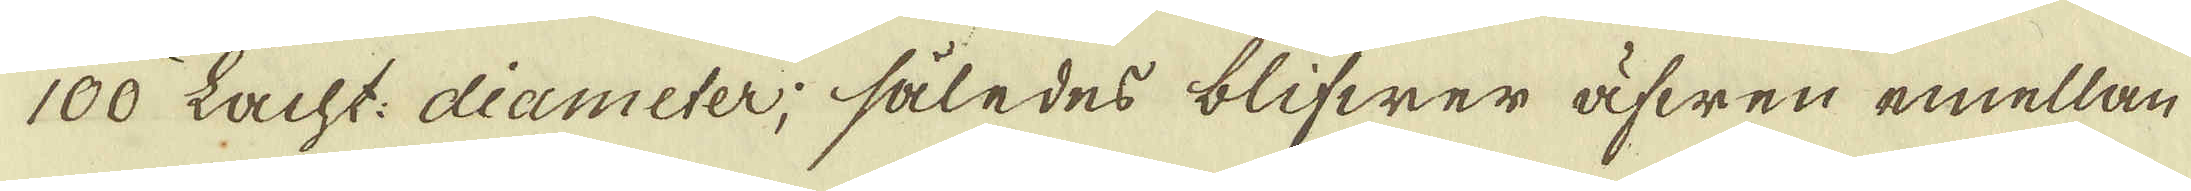100 Lacht: diameter, således blifwer äfwen emellan
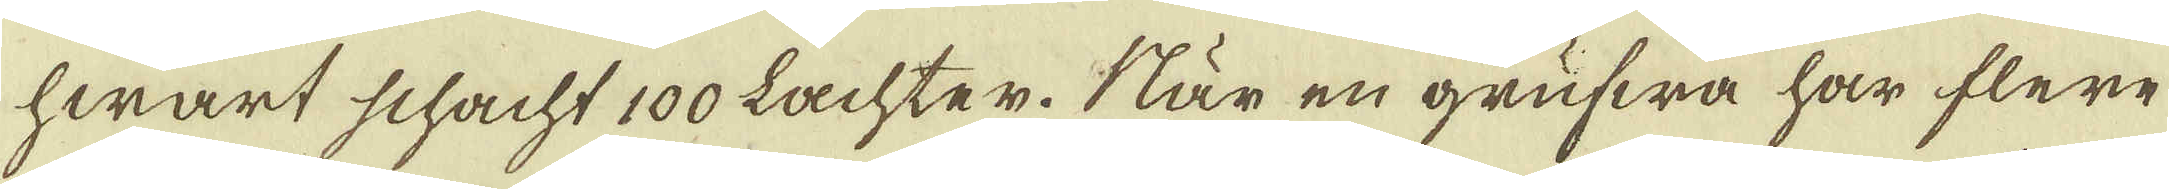hwart schacht 100 Lachter. När en grufwa har flere
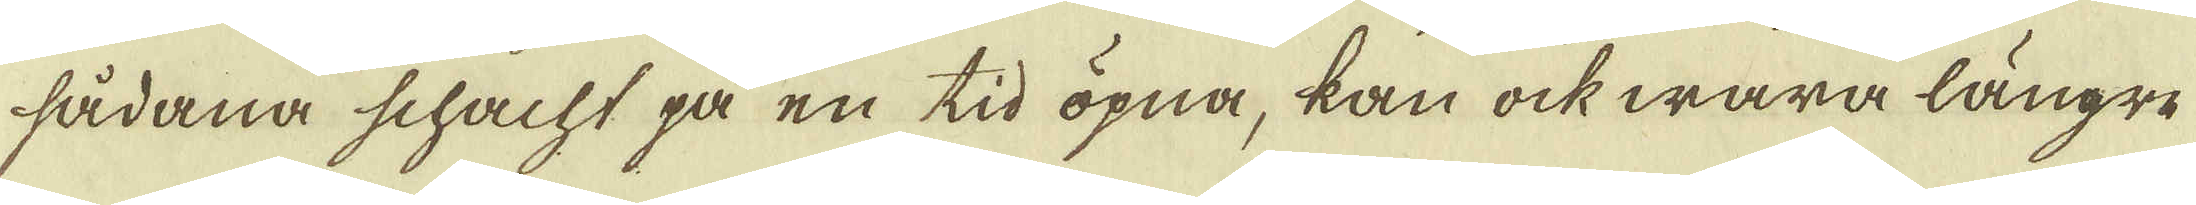sådana schacht på en tid öpna, kan ock wara längre
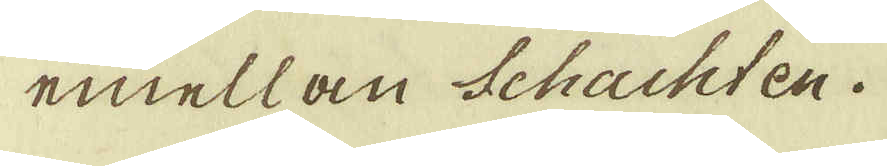emellan Schachten.
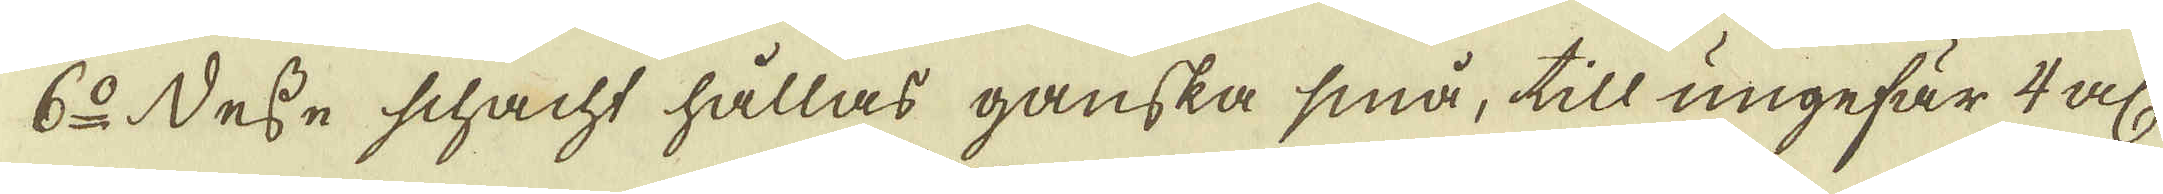6:o Desse schacht hållas ganska små, till ungefär 4 al:
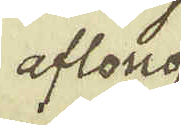aflong
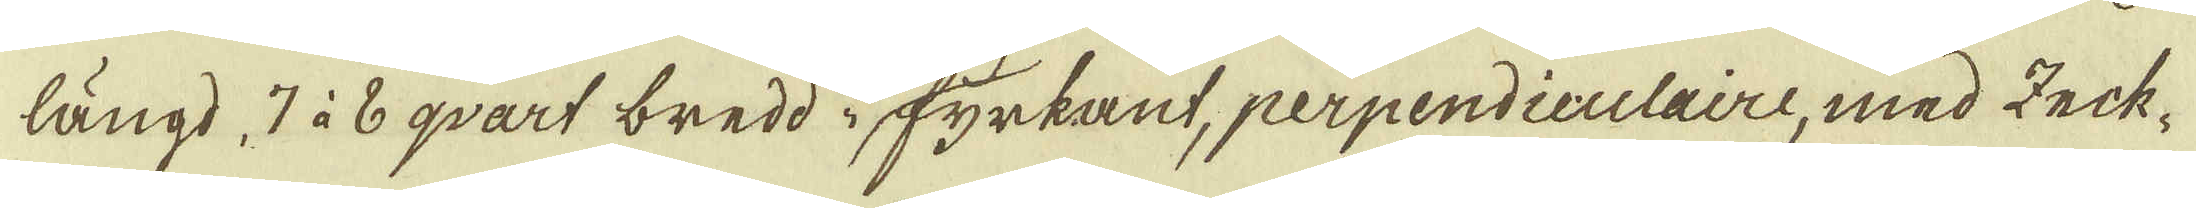längd 7 à 6 qvart bredd i fyrkant, perpendiculaire, med Zeck-
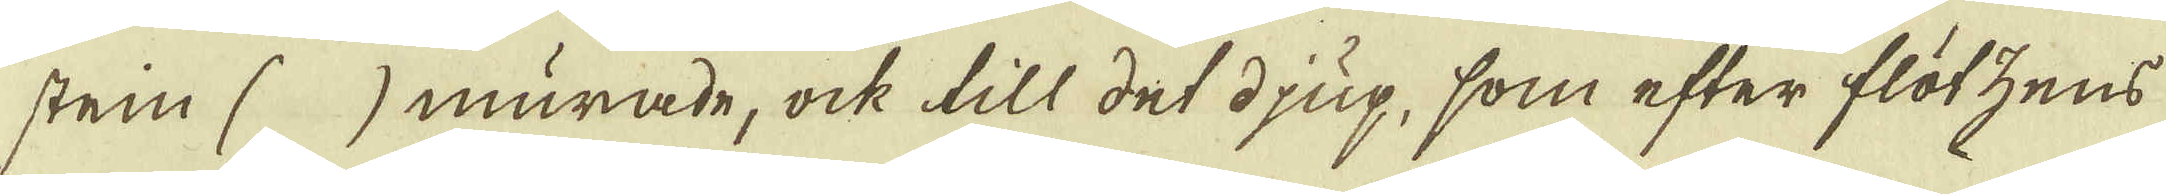stein ( ) murade, ock till det djup, som efter flötzens
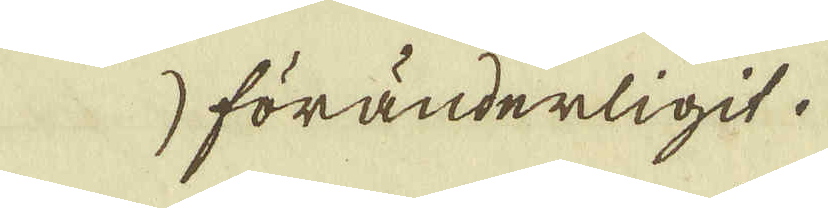stupande blir
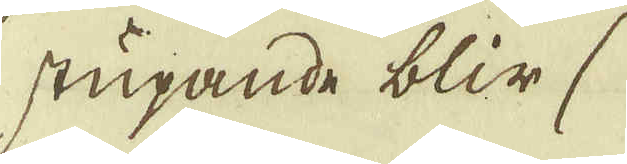föränderligit.
